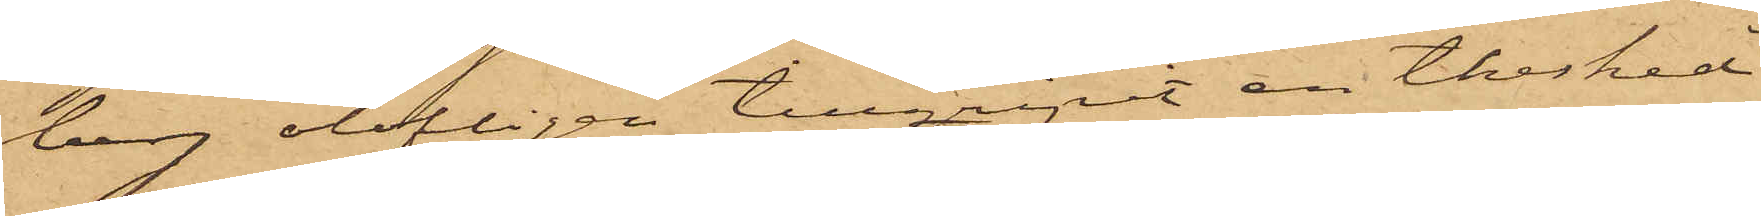berg olofligen tillgripit en thesked
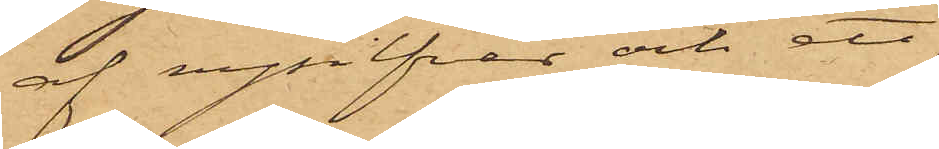af nysilfver och ett
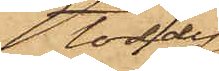toddy¬
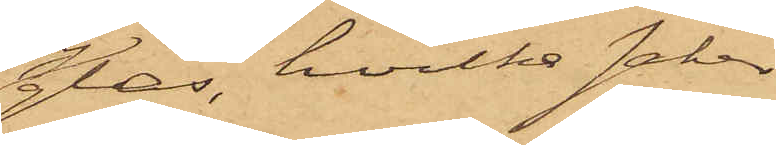glas, hvilka saker
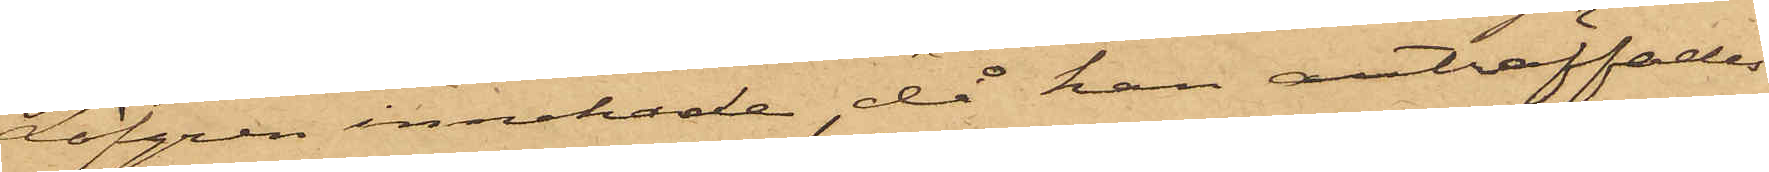Löfgren innehade, då han anträffades
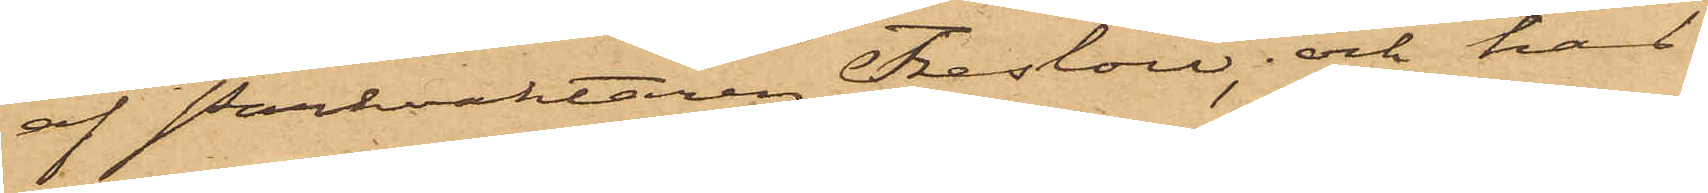af parkvaktaren Treslow; och har
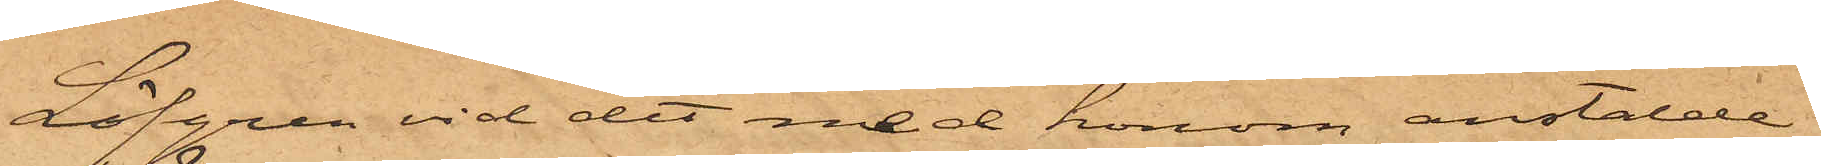Löfgren vid det med honom anstälde
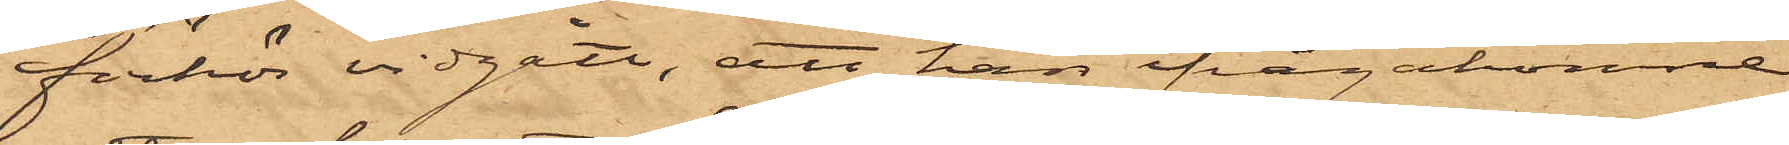förhör vidgått, att han ifrågakomne
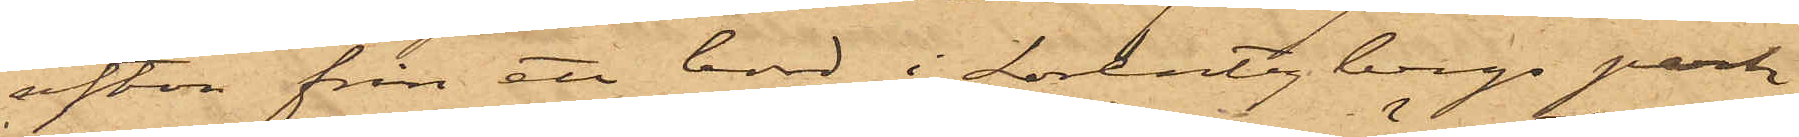afton från ett bord i Lorentzbergs park
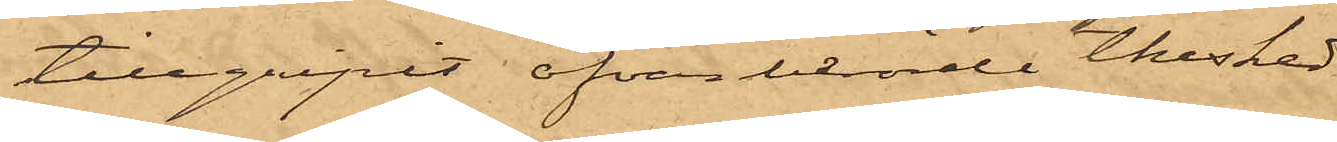tillgripit ofvanberörde thesked
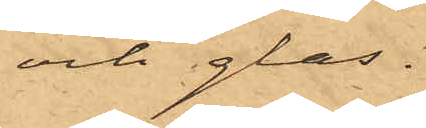och glas.
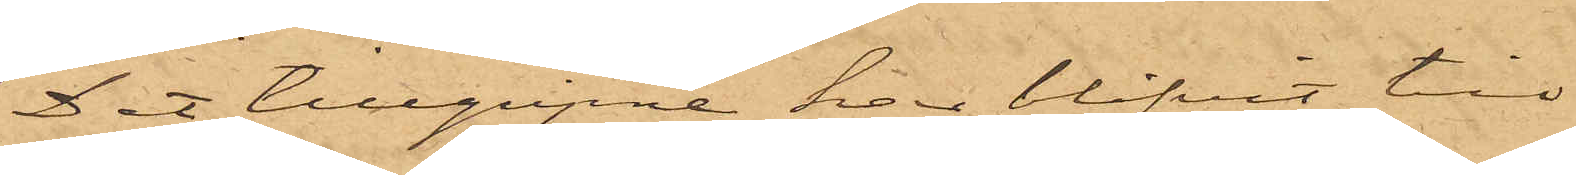Det tillgripne har blifvit till
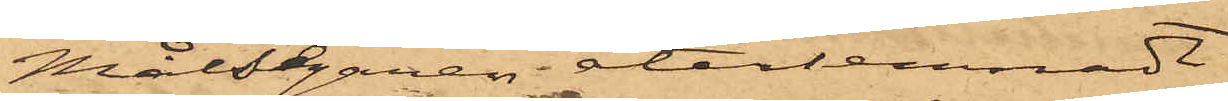Målsegaren återlemnadt.
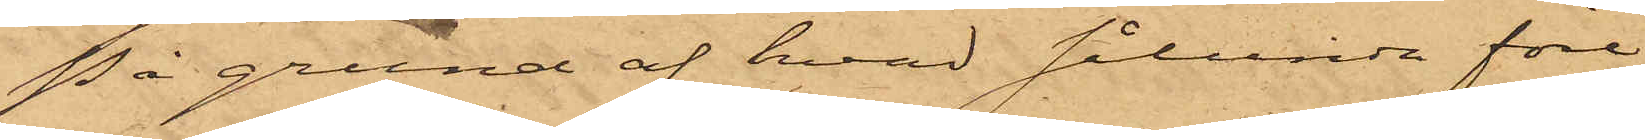På grund af hvad sålunda före¬
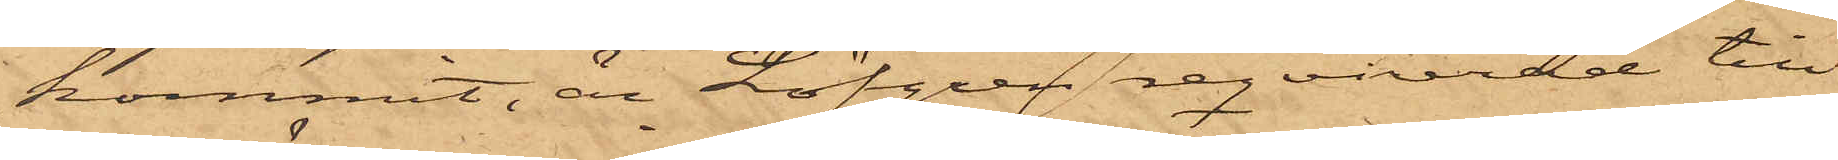kommit, är Löfgren reqvirerad till
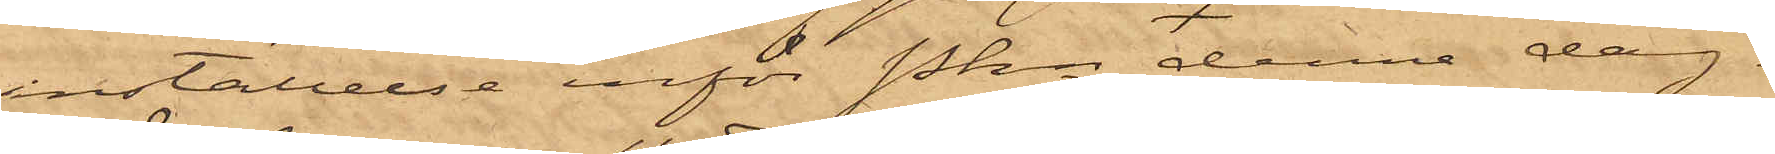inställelse inför Pkn denna dag.
